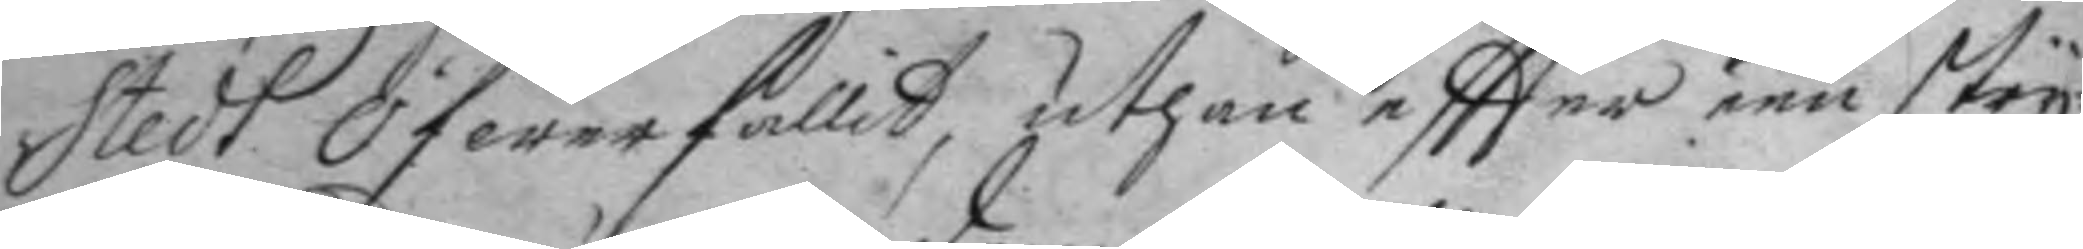stedt Öfwerfallit, uthan eftter een stry¬
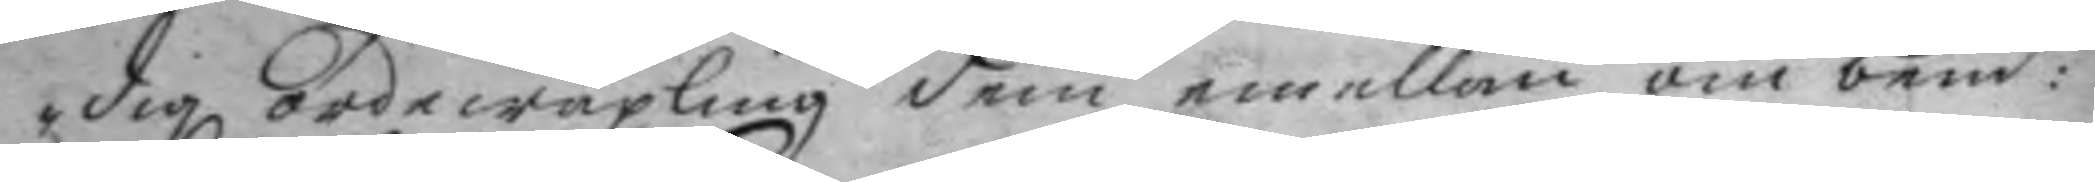dig ordewäxling dem emellan om bend:te
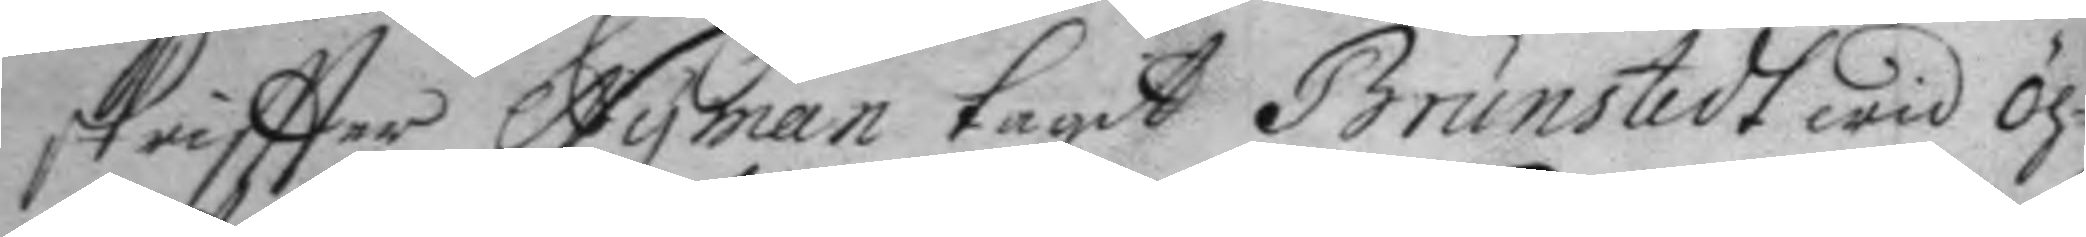skriftter Nyman tagit Brunstedt wid öh¬
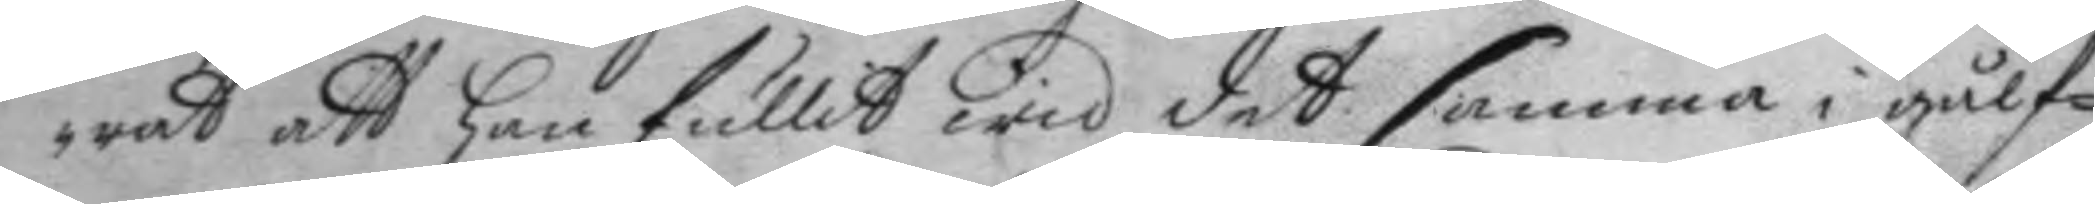rat att han fullit wid det samma i gålf¬
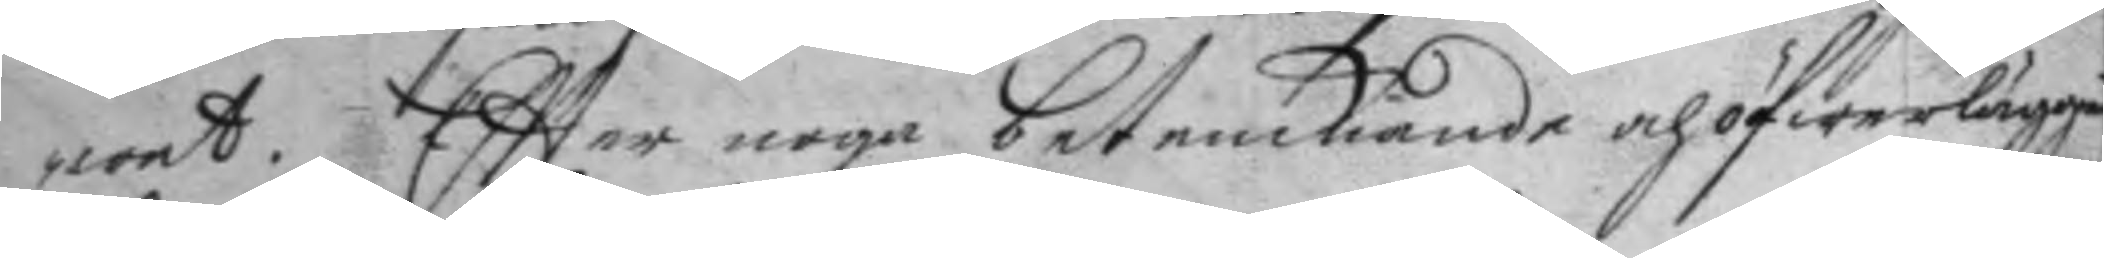wet. Efter noga betenkiande och öfwerläggia¬
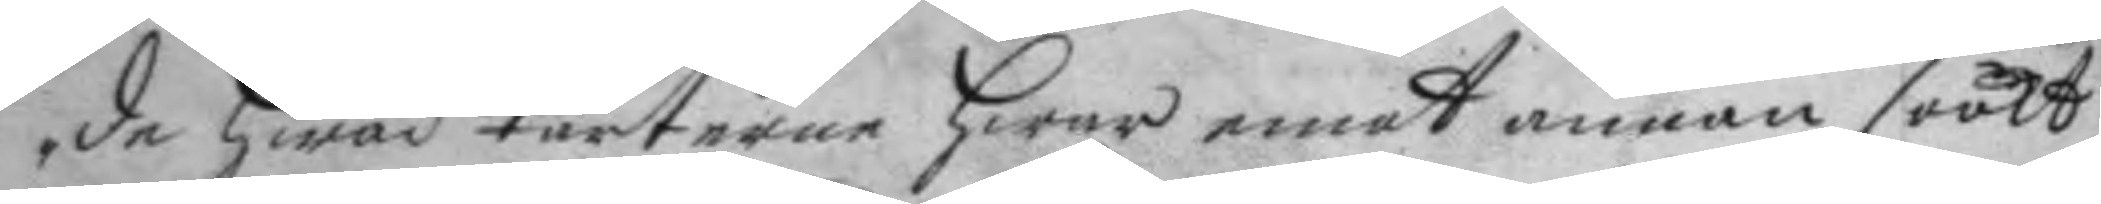de hwad Parterne hwar emot annan sökt
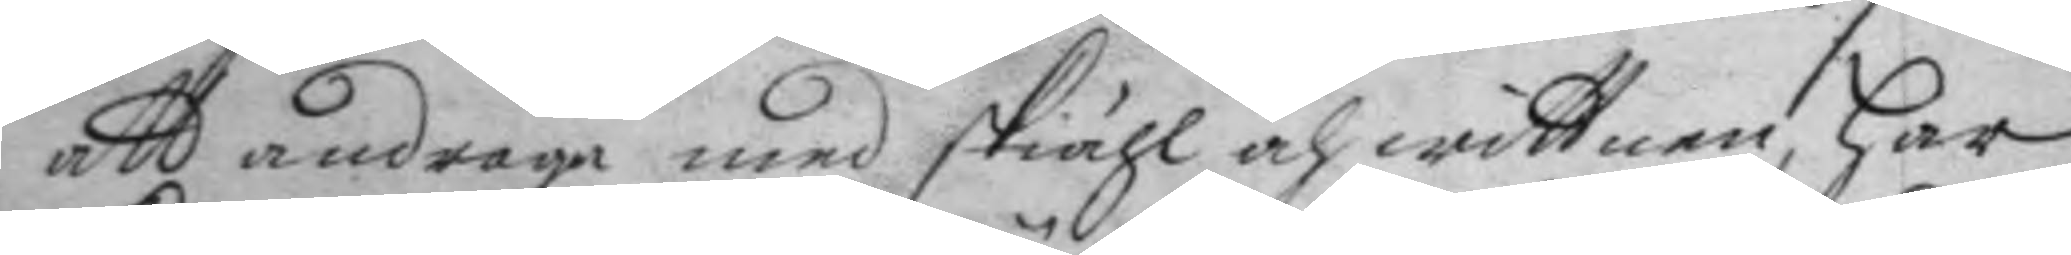att andraga med skiähl och wittnen, har
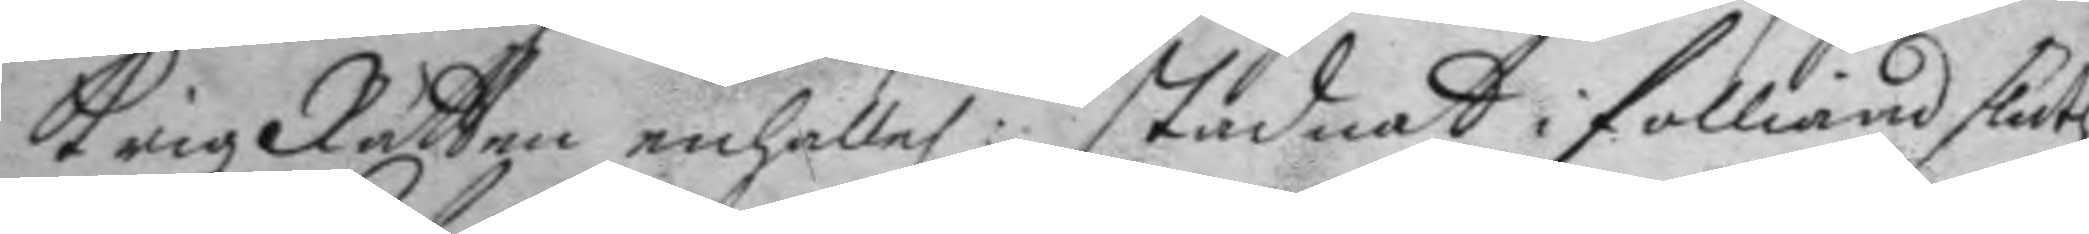Krigz Rätten enhelle:n stadnat i folliande sluth
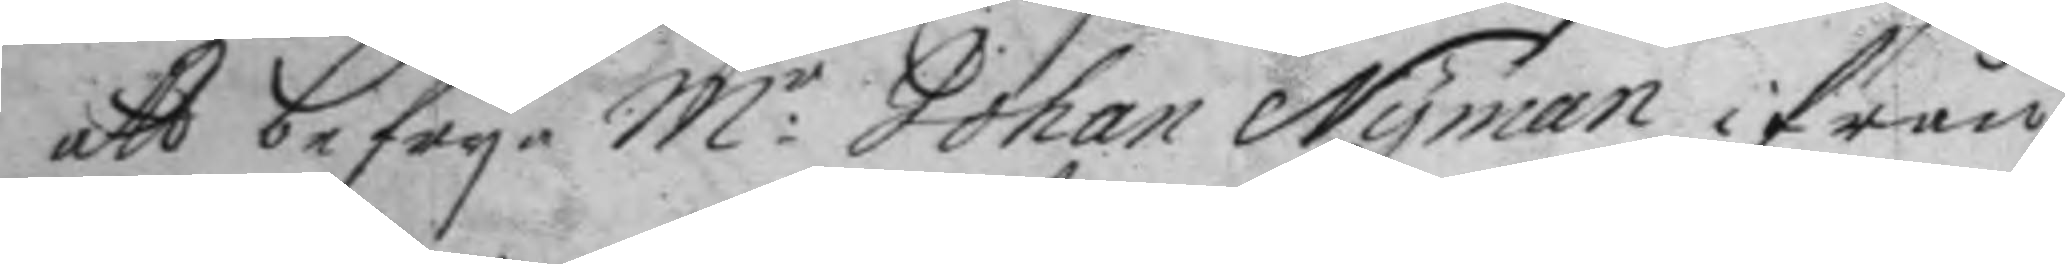att befrya M:r Johan Nyman ifrån
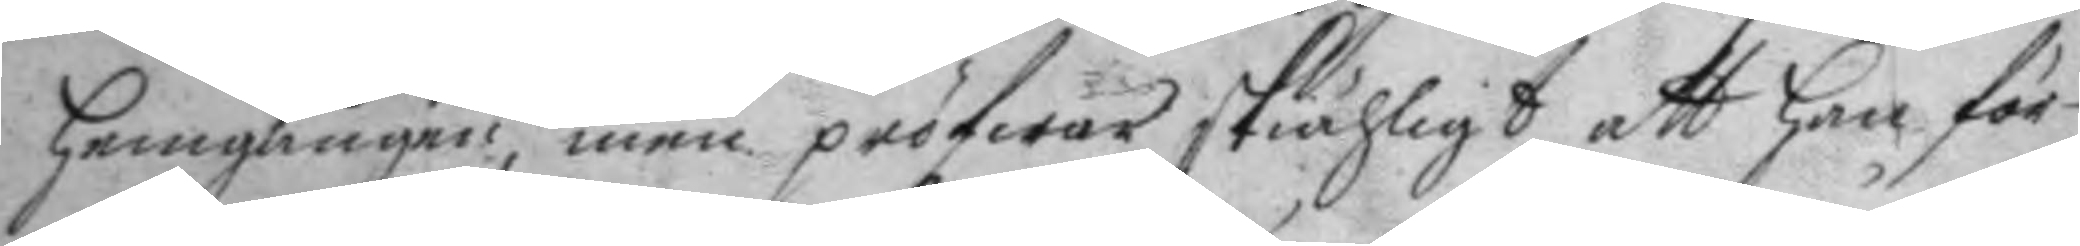hemgången, men pröfwar skiähligt att han för
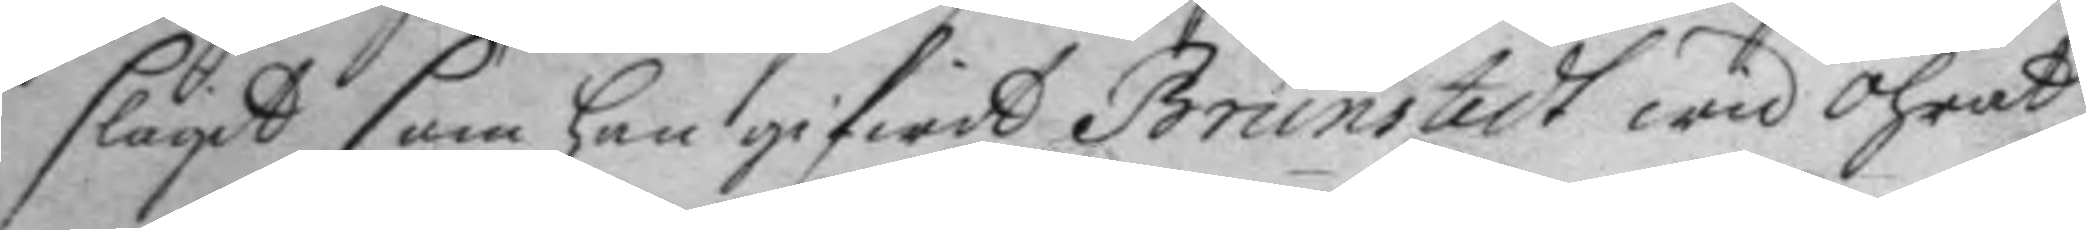slagit som han gifwit Brunstedt wid öhrat
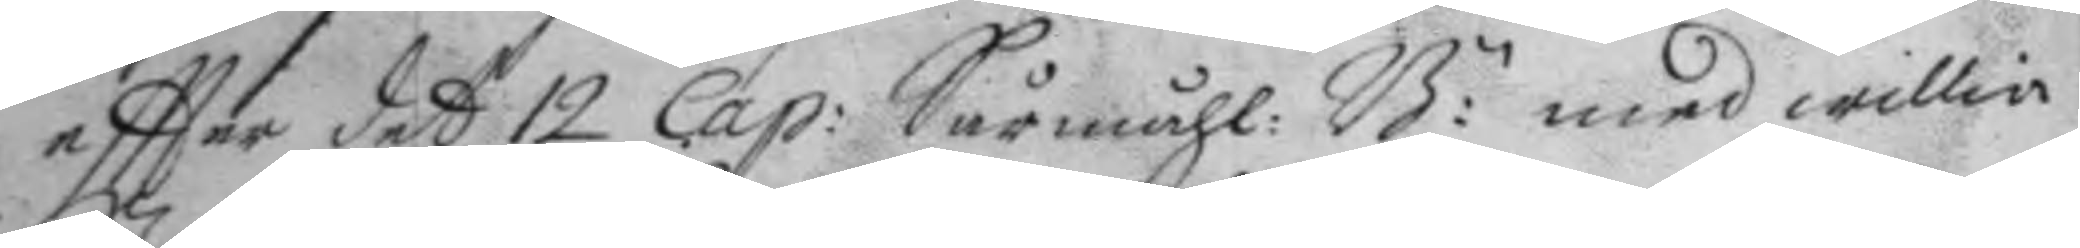eftter det 12 Cap: Sårmåhl: B:n med willia
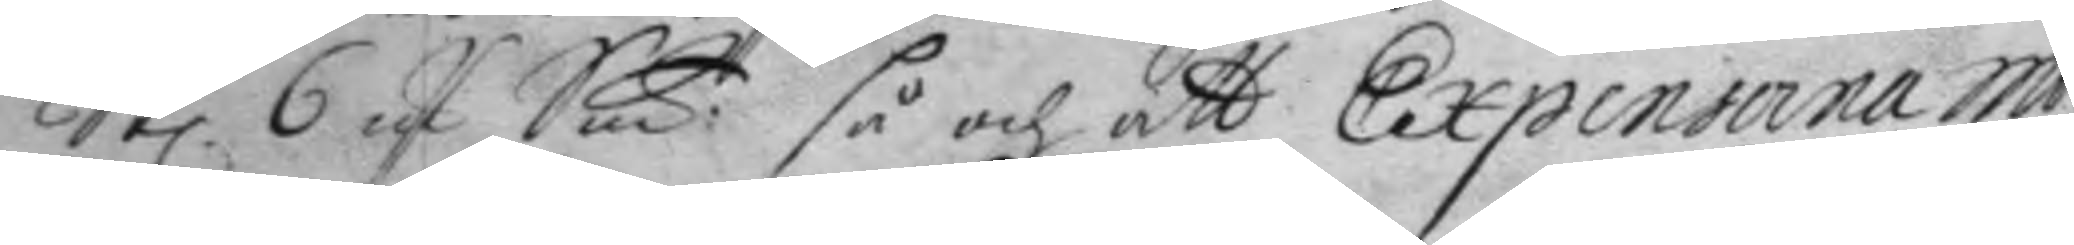St 6 Mrk Sm:t så och att Expensera mo¬
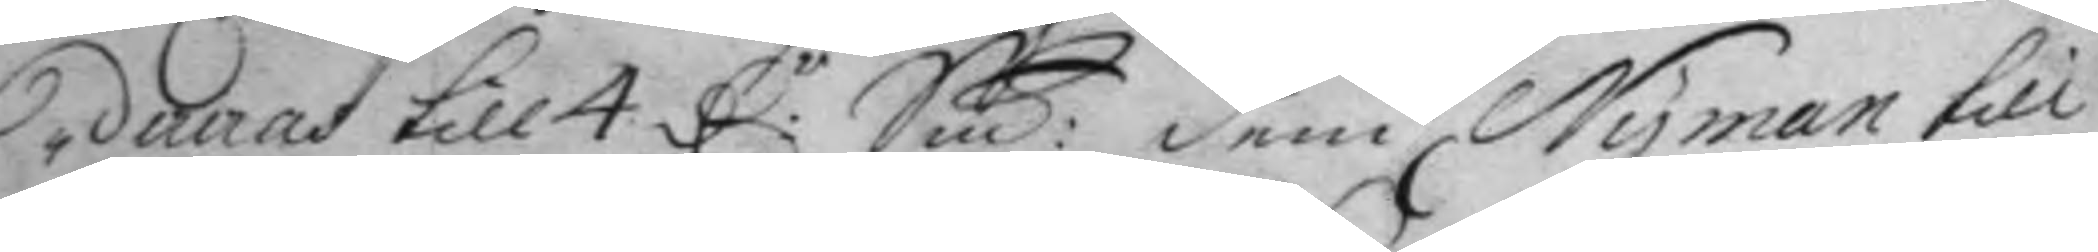dereras till 4 D:r Smt: dem Nyman till
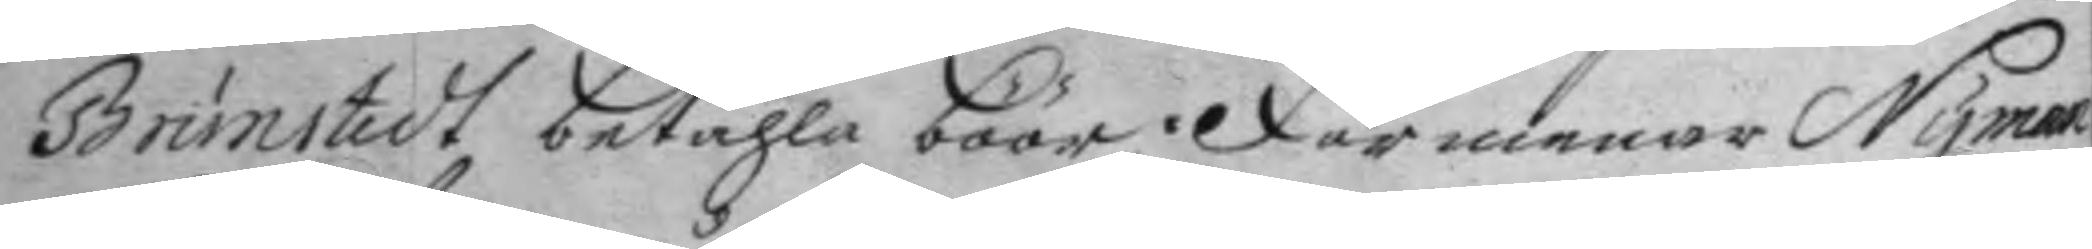Brunstedt betahla böör. Förmenar Nyman
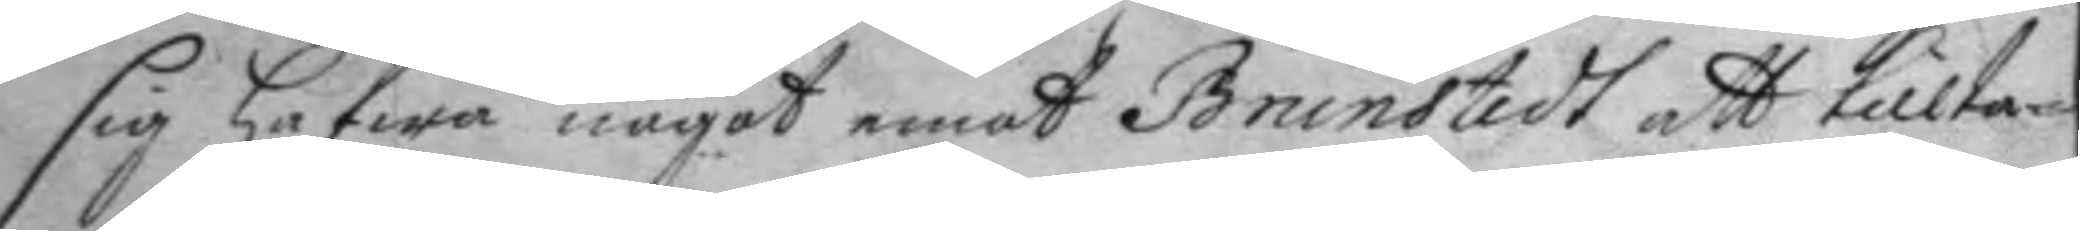sig hafwa något emot Brunstedt att tillta¬
